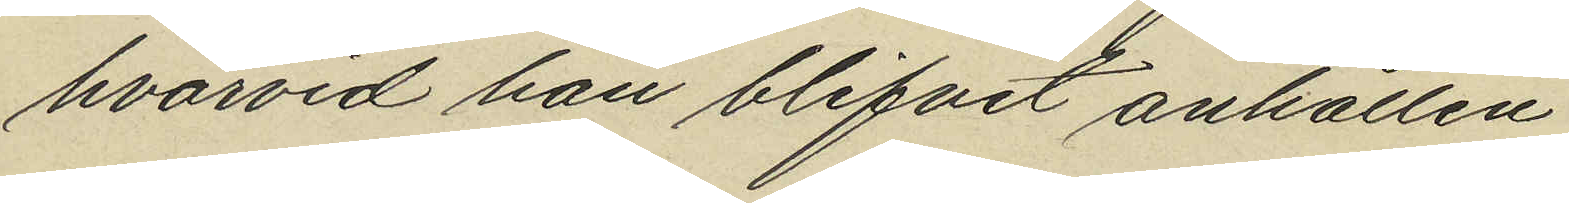hvarvid han blifvit anhållen.
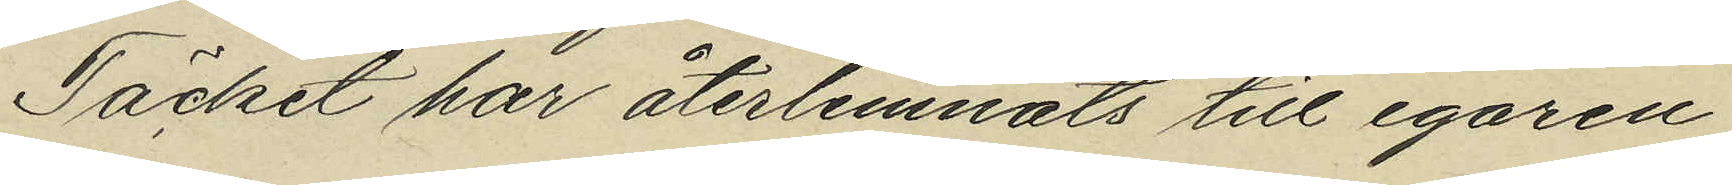Täcket har återlemnats till egaren
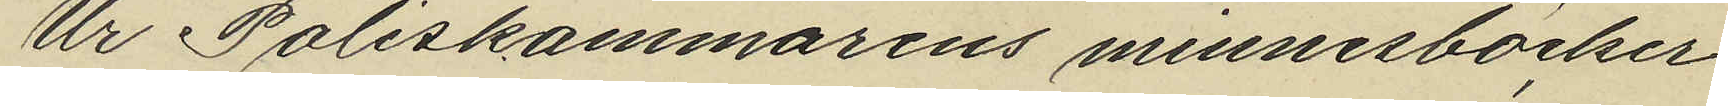Ur Poliskammarens minnesböcker
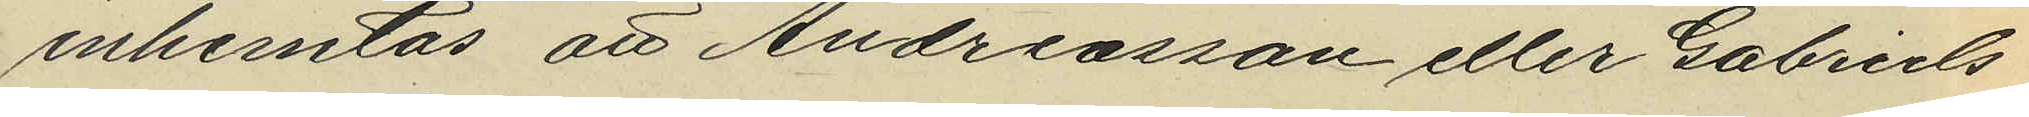inhemtas att Andreasson eller Gabriels¬
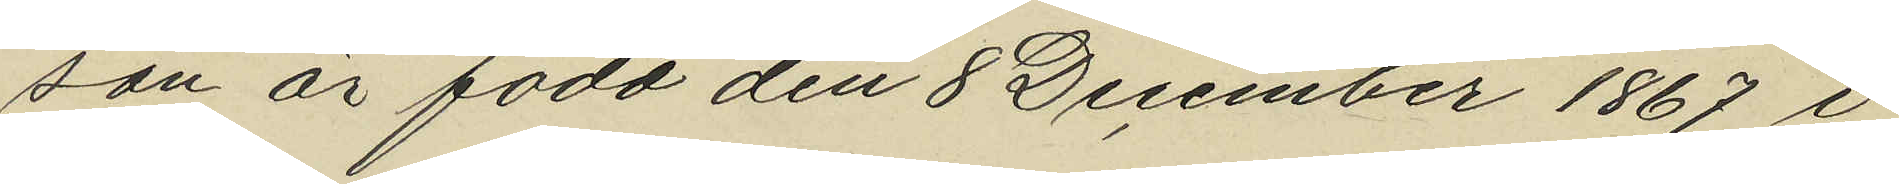son är född den 8 December 1867 i
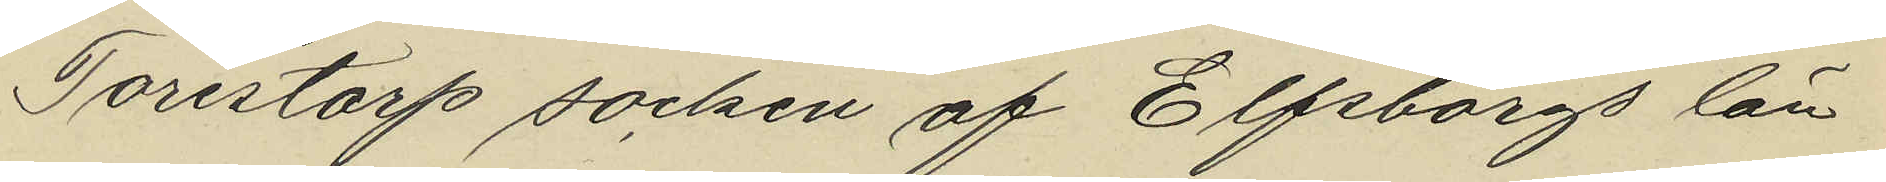Torestorp socken af Elfsborgs län
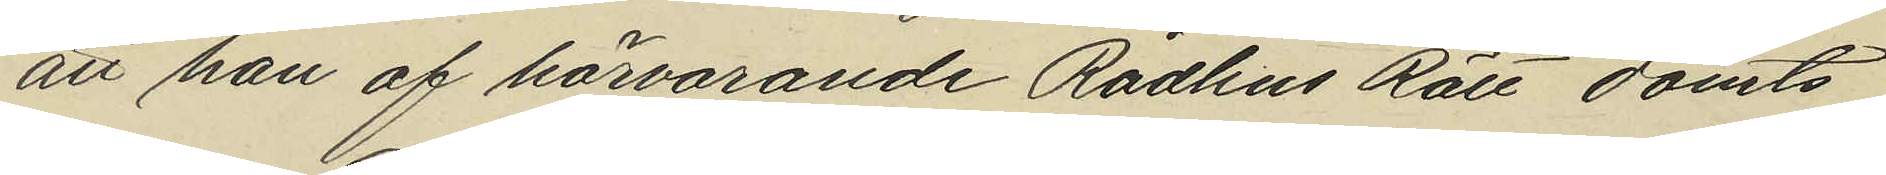att han af härvarande Rådhus Rätt dömts
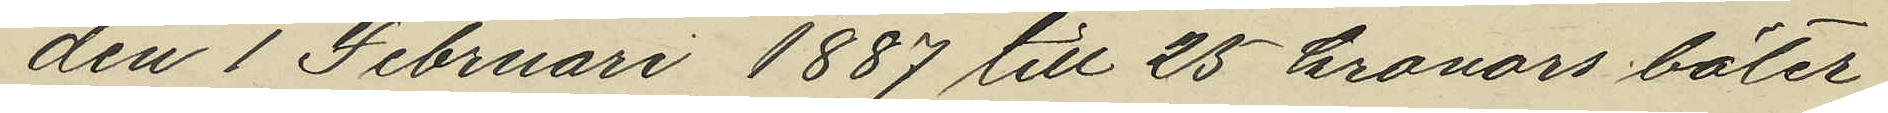den 1 Februari 1887 till 25 kronors böter
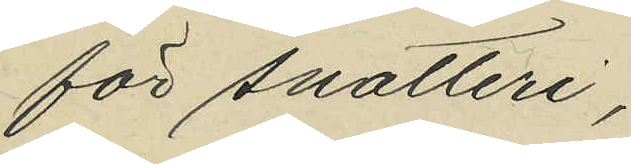för snatteri,
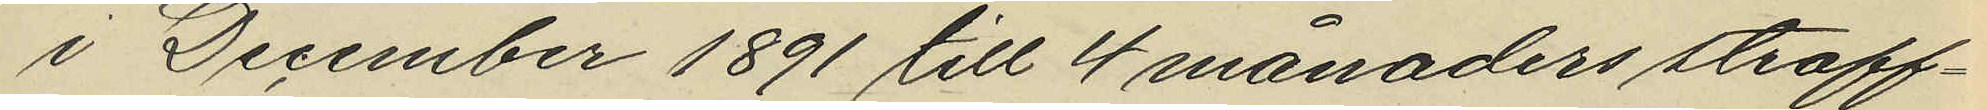i December 1891 till 4 månaders straff¬
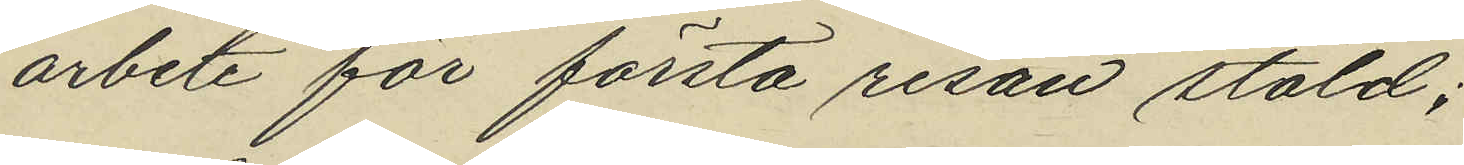arbete för första resan stöld;
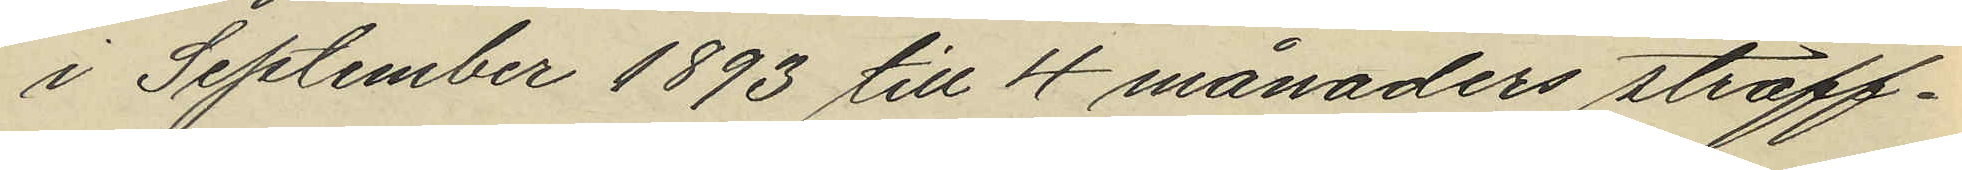i September 1893 till 4 månaders straff¬
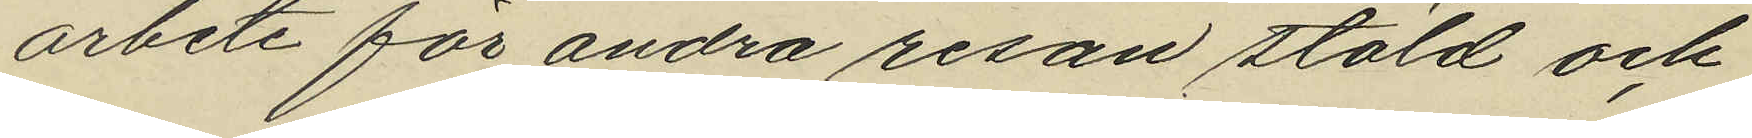arbete för andra resan stöld och
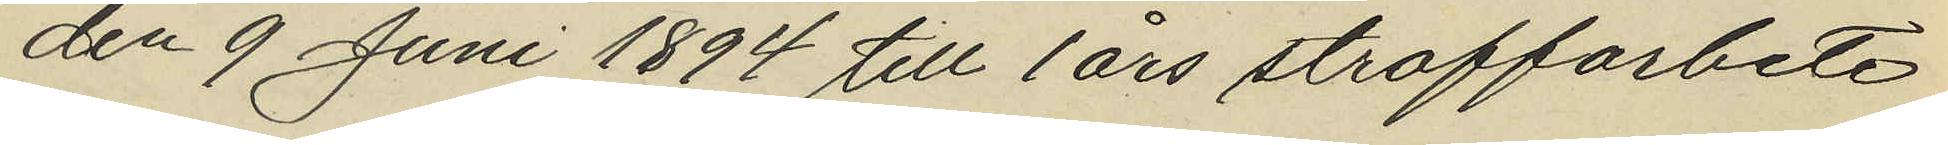den 9 Juni 1894 till 1 års straffarbete
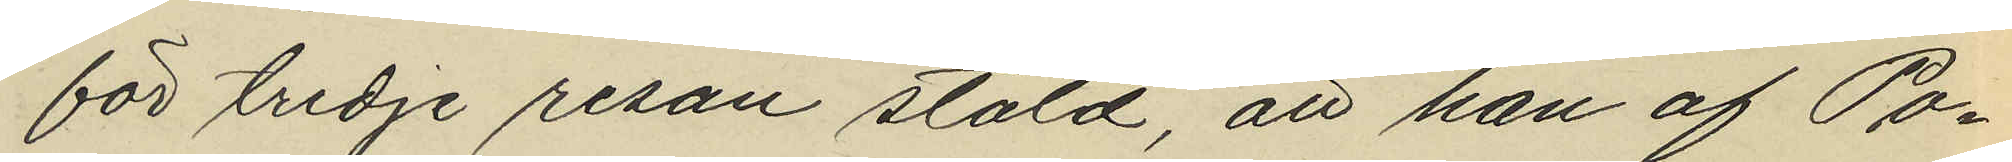för tredje resan stöld att han af Po¬
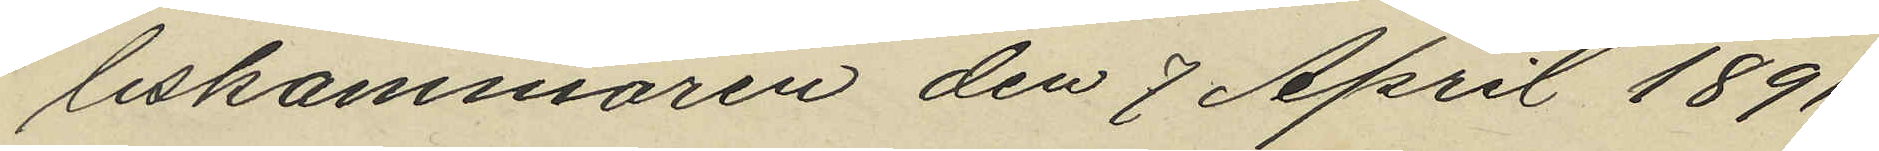liskammaren den 7 April 1891
